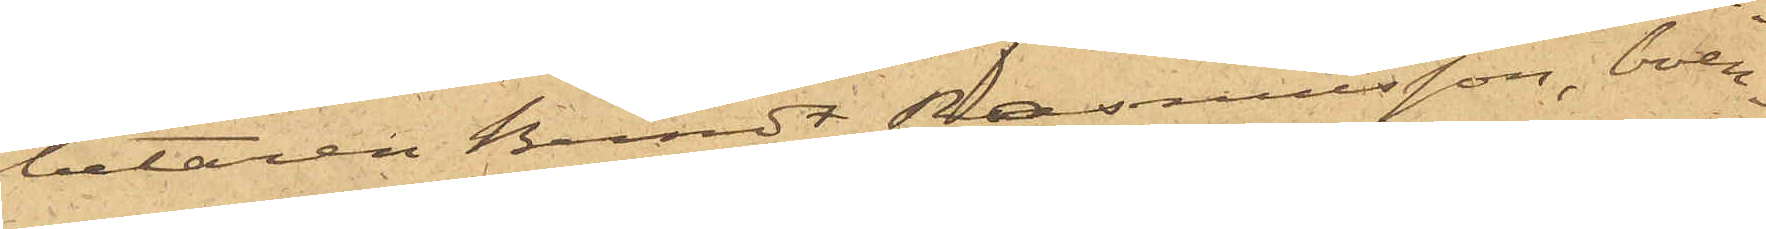betaren Berndt Rasmusson, boen¬
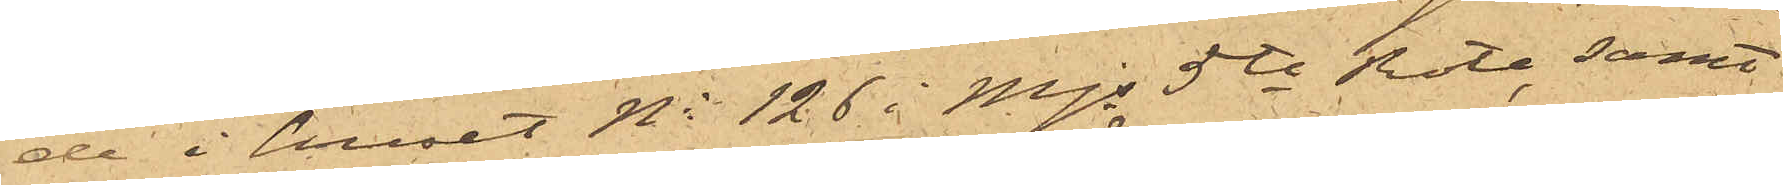de i huset No 126 i Majs 5te Rote, samt
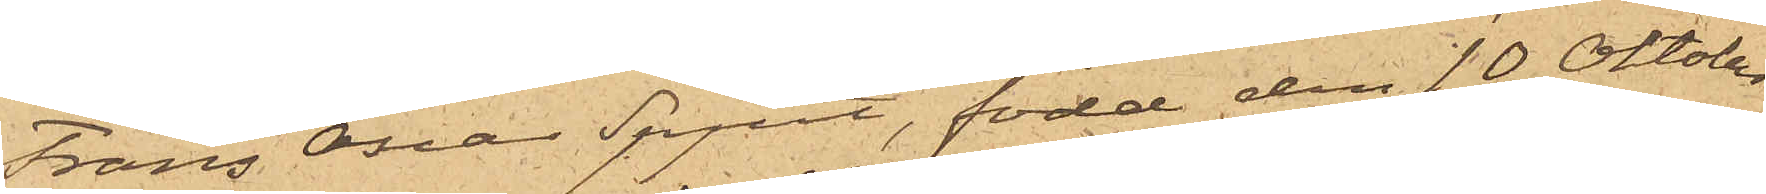Frans Oscar Spjut, född den 10 Oktober
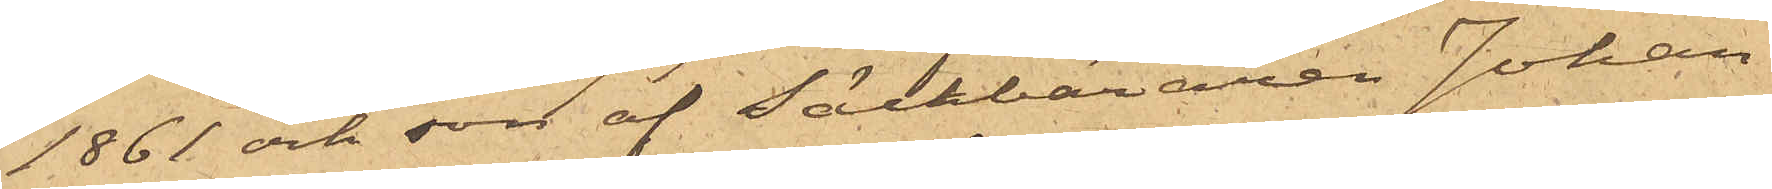1861 och son af Säckbäraren Johan
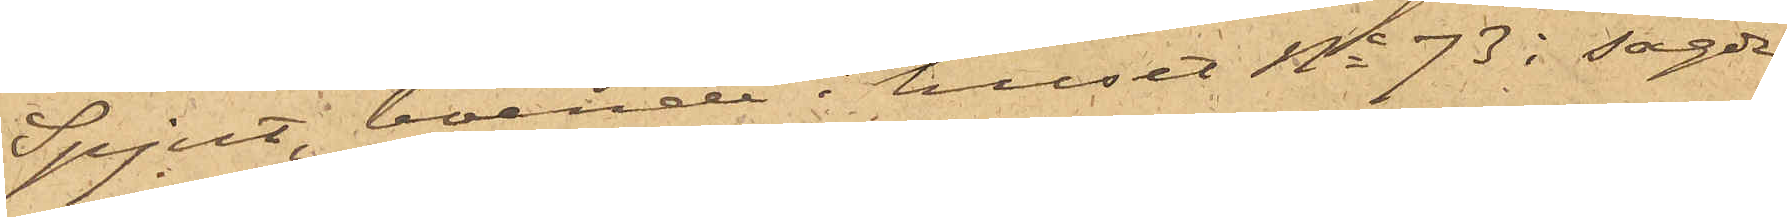Spjut, boende i huset No 73 i sagde
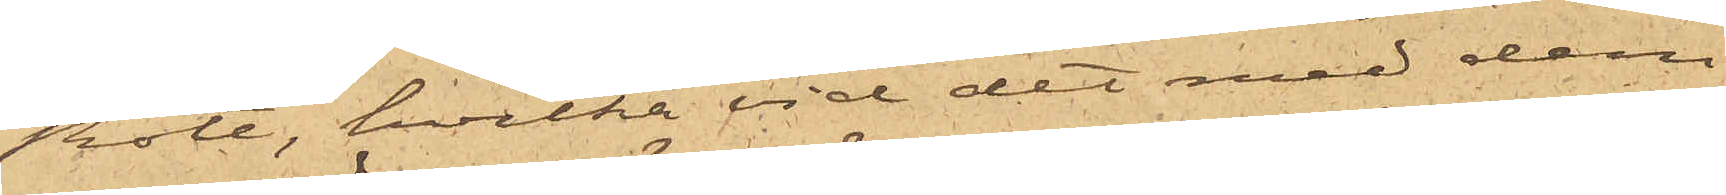Rote, hvilka vid det med dem
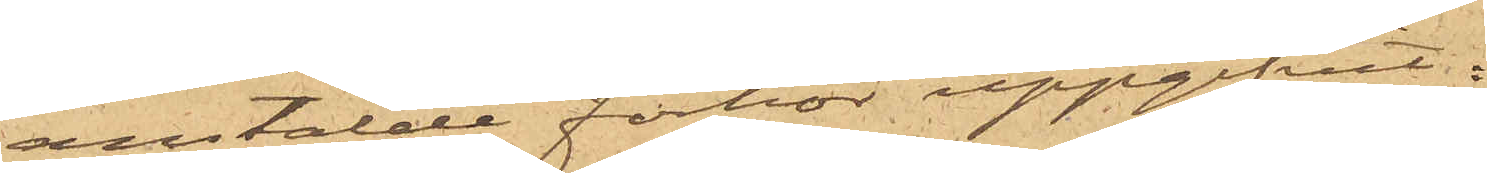anstälde förhör uppgifvit:
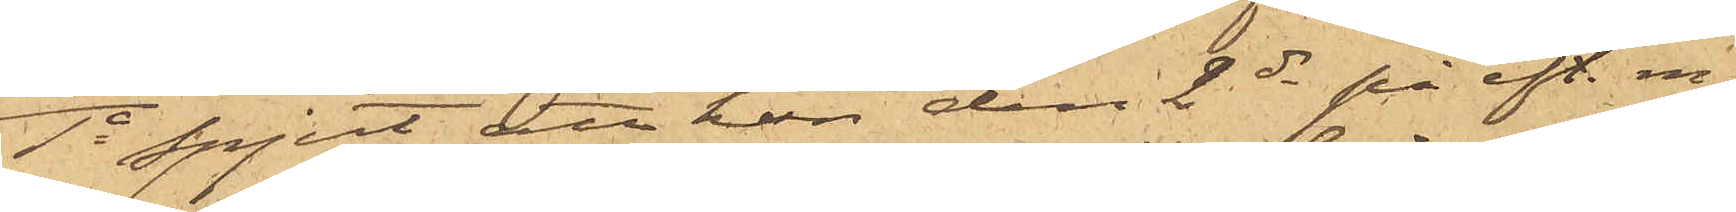1o Spjut att han den 2 ds på eft. m.
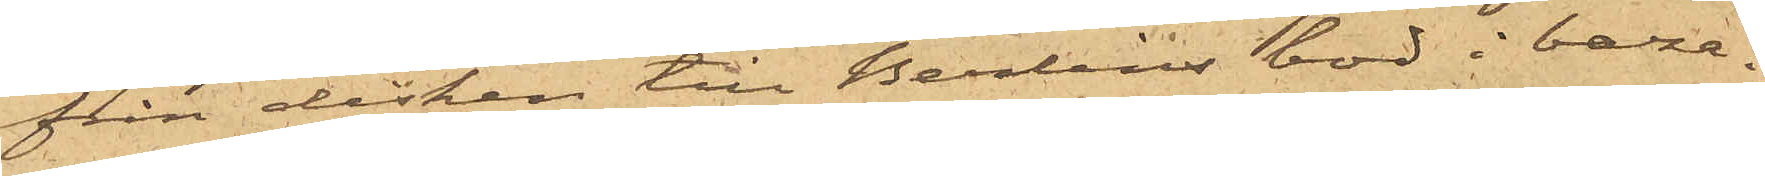från disken till Berlins bod i baza¬
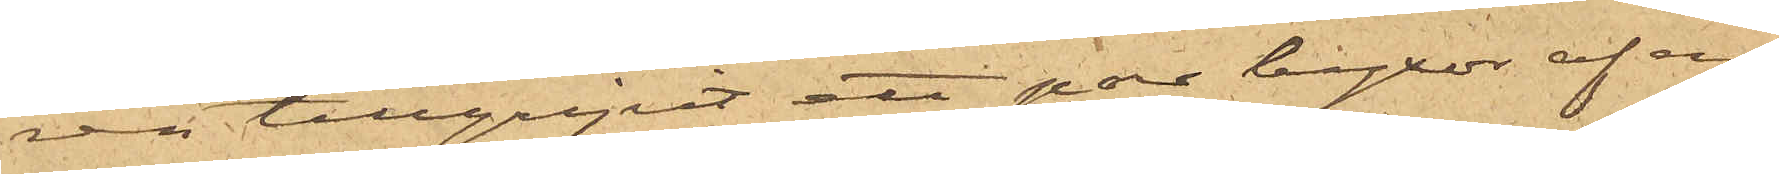ren tillgripit ett par byxor af en¬
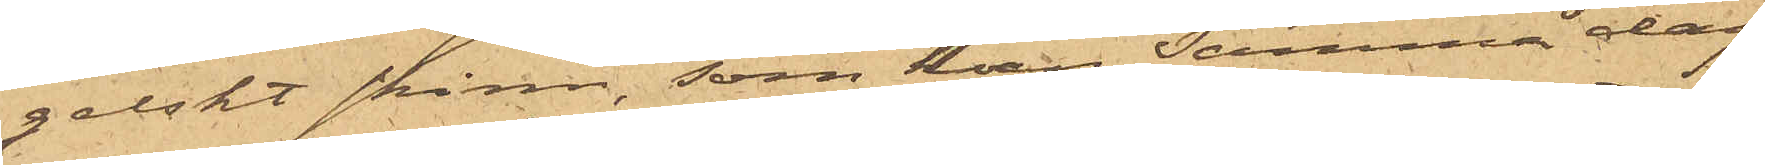gelskt skinn, som han samma dag
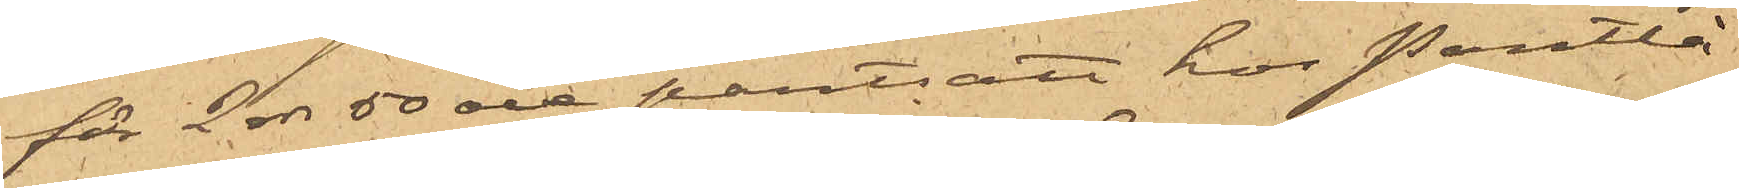för 2 rdr 50 öre pantsatt hos Pantlå¬
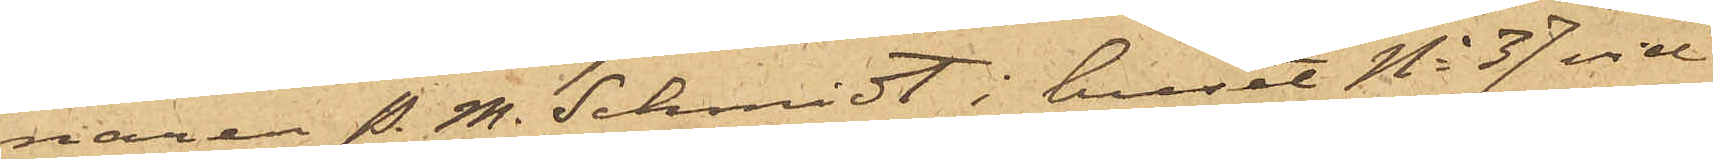naren P. M. Schmidt i huset No 37 vid
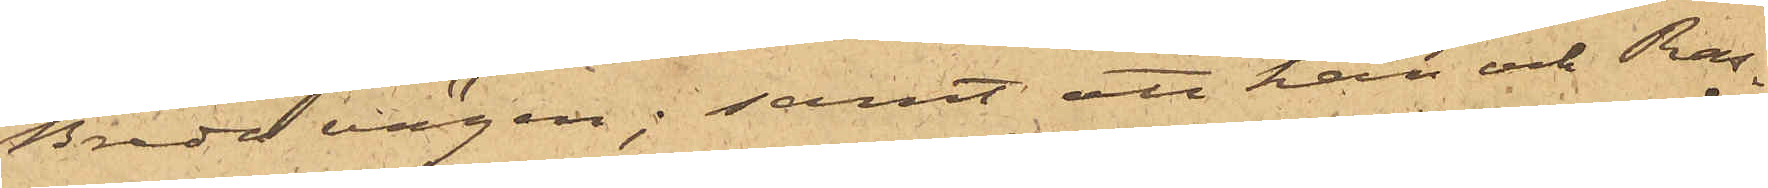Breda vägen; samt att han och Ras¬
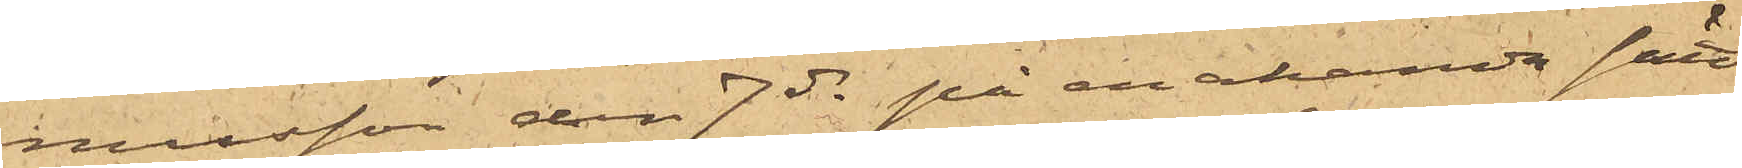musson den 7 ds på enahanda sätt
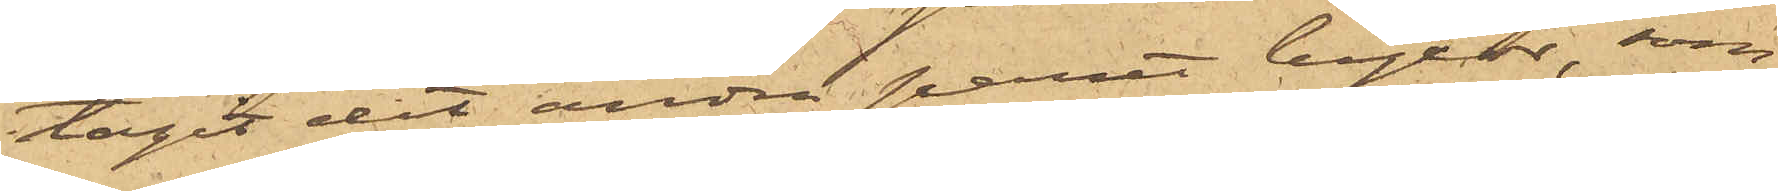tagit det andra paret byxor, som
